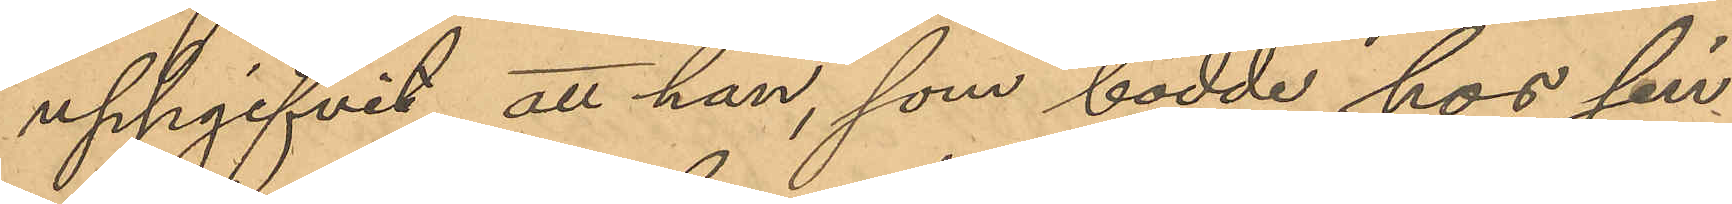uppgifvit att han, som bodde hos sin
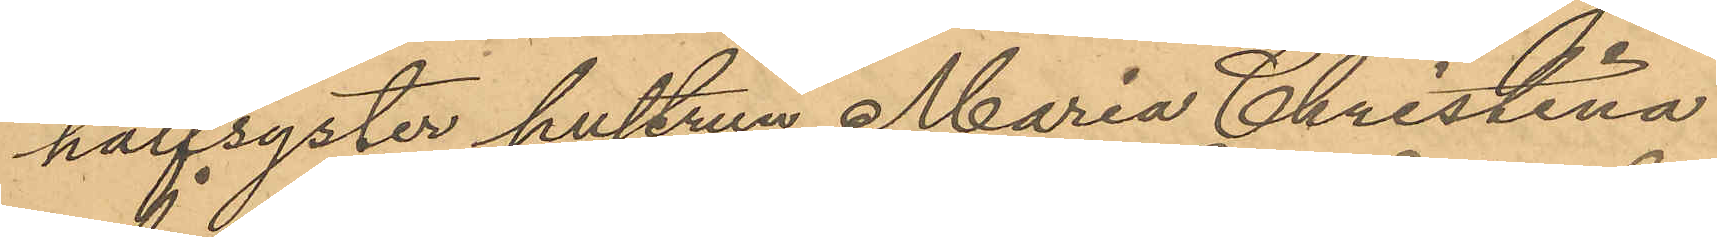halfsyster hustrun Maria Christina
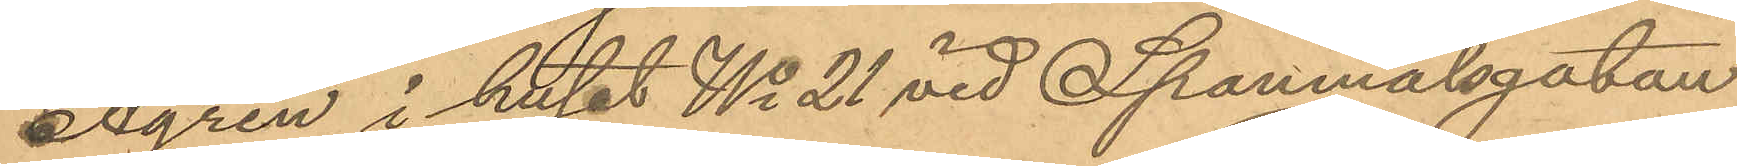Ågren i huset No 21 vid Spannmålsgatan
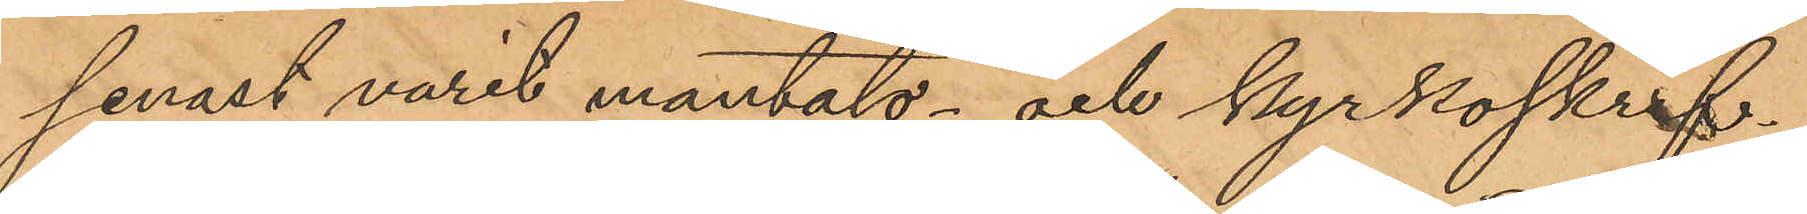senast varit mantals- och kyrkoskrif¬
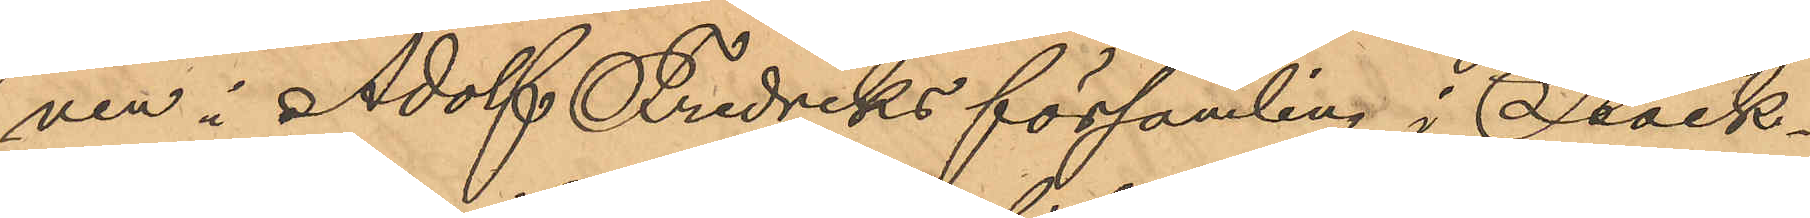ven i Adolf Fredriks församling i Stock¬
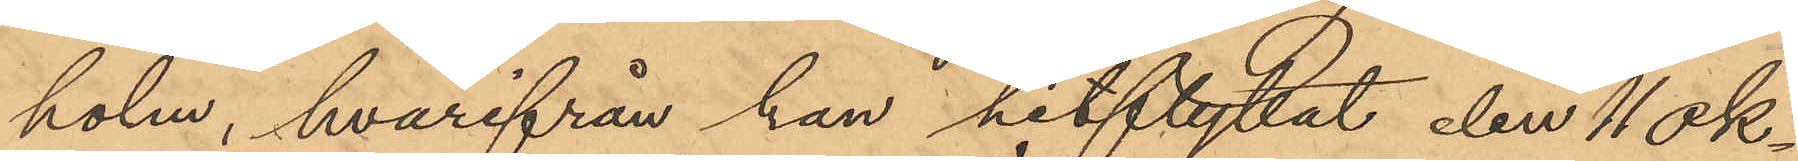holm, hvarifrån han hitflyttat den 11 Ok¬
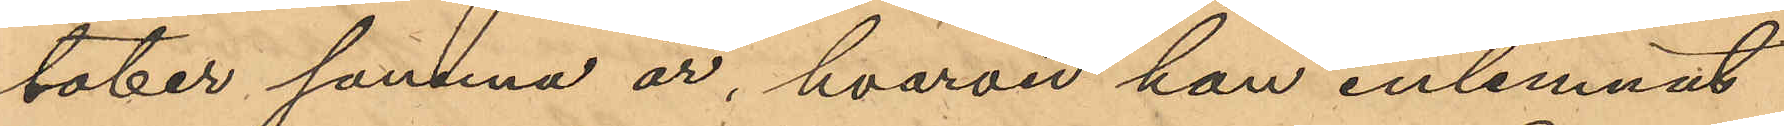tober samma år, hvarvid han inlemnat
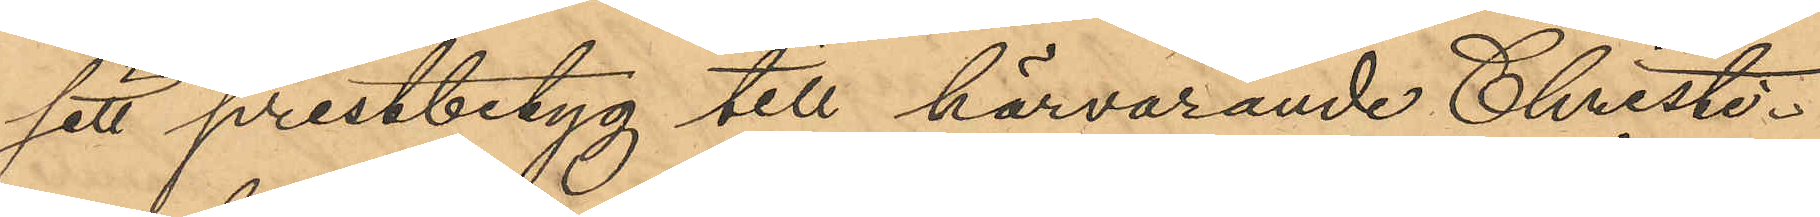sitt prestbetyg till härvarande Christi¬
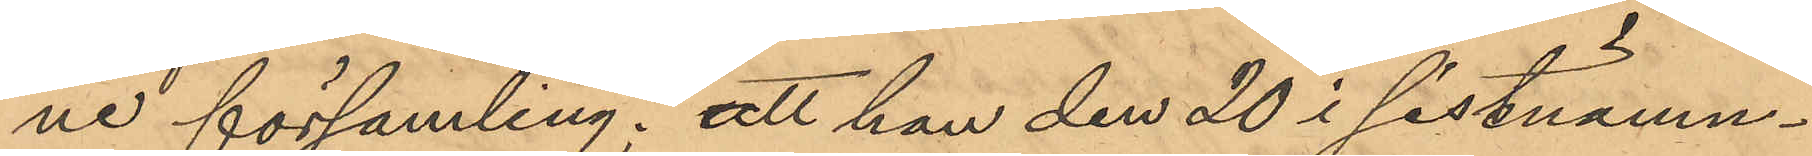ne församling; att han den 20 i sistnämn¬
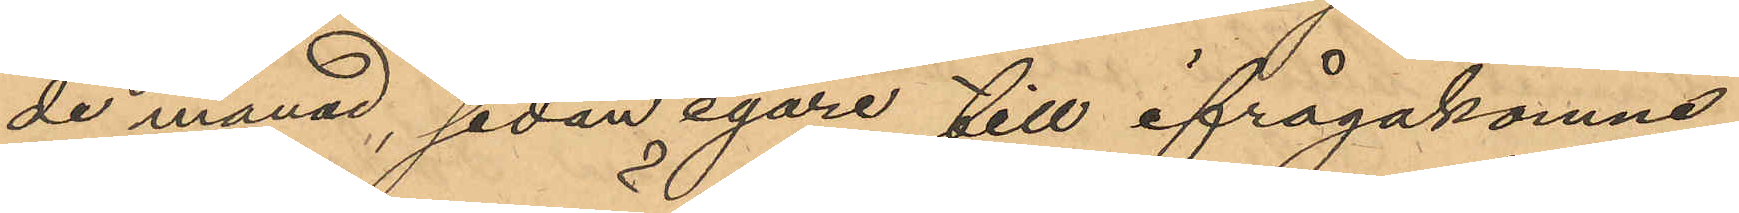de månad, sedan egare till ifrågakomne
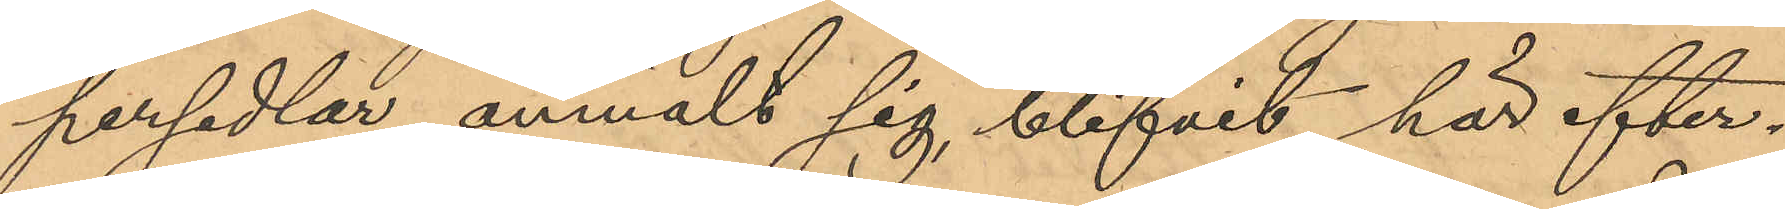persedlar anmält sig, blifvit här efter¬
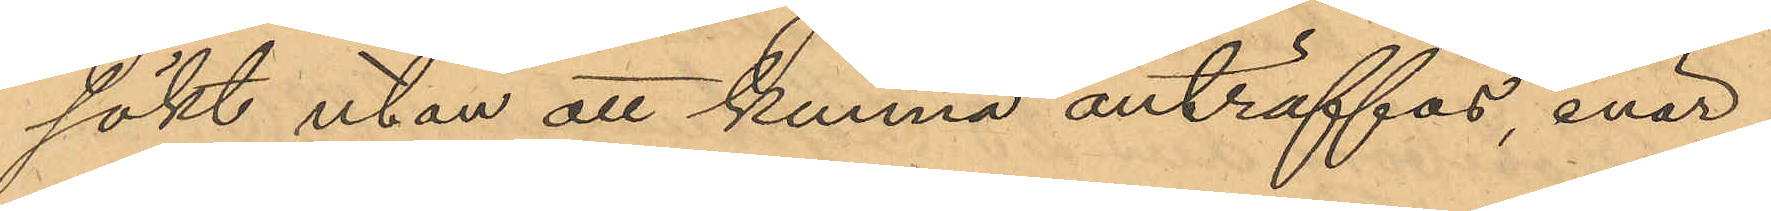sökt utan att kunna anträffas, enär
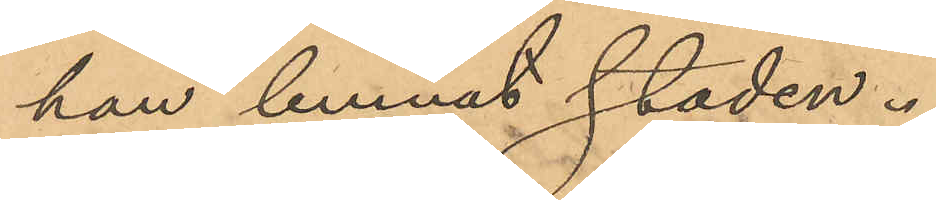han lemnat staden.
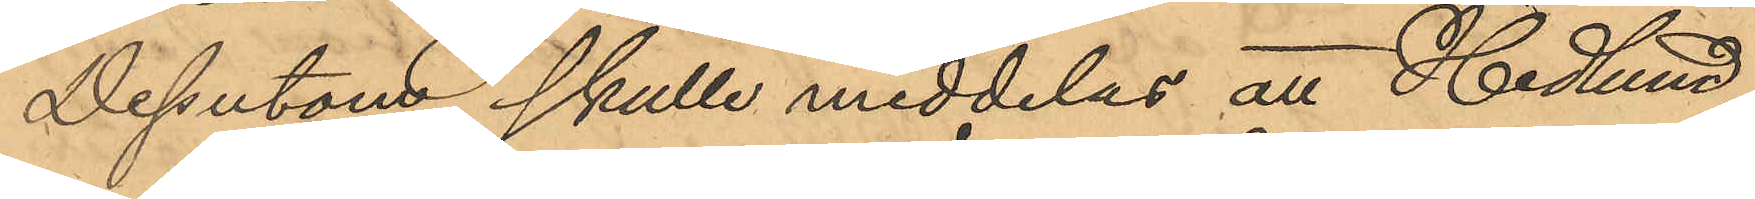Dessutom skulle meddelas att Hedlund,
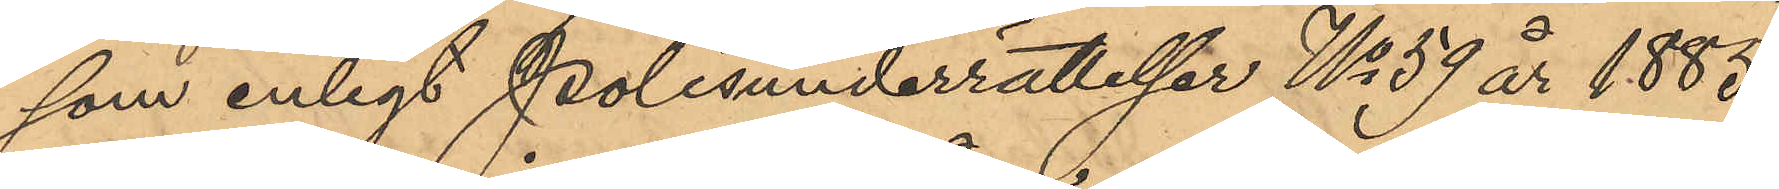som enligt Polisunderrättelser No 59 år 1885,
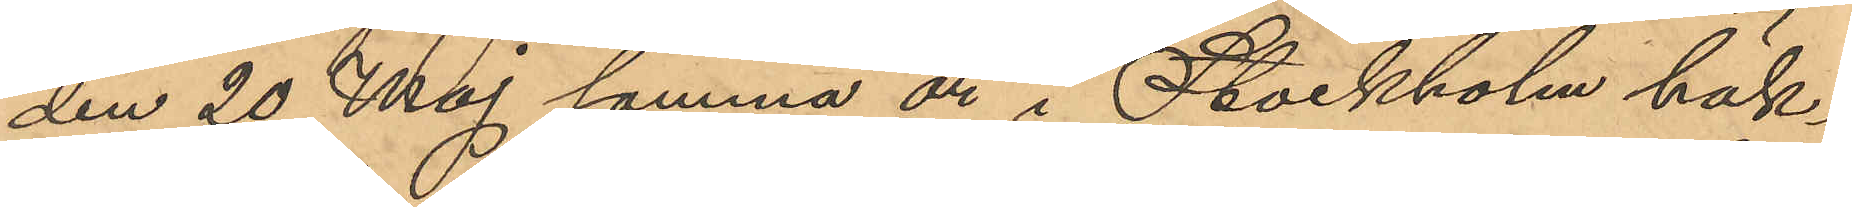den 20 Maj samma år i Stockholm häk¬
